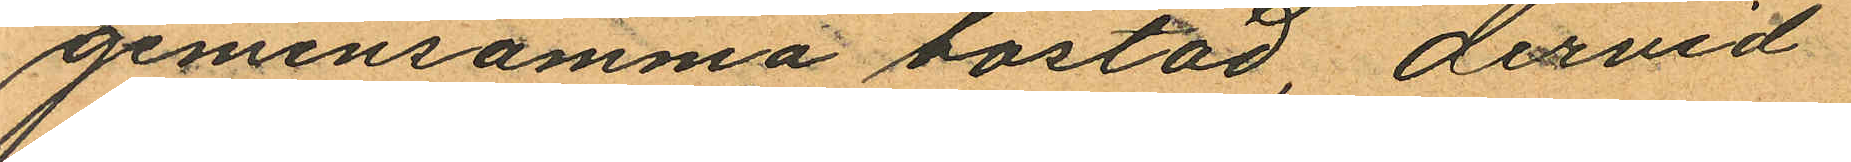gemensamma bostad, dervid
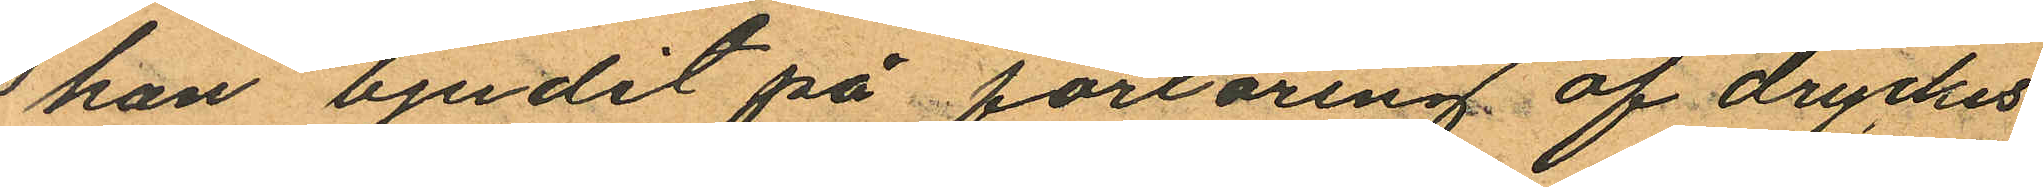han bjudit på förläring af dryckes
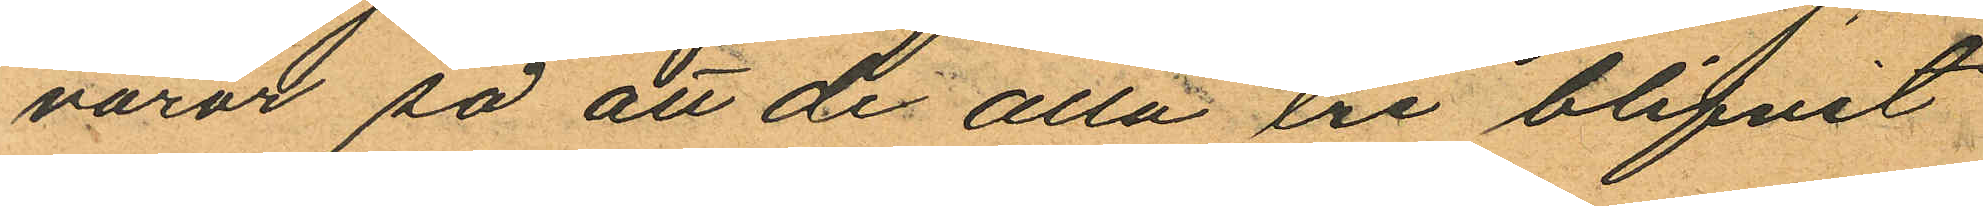varor så att de alla ere blifvit
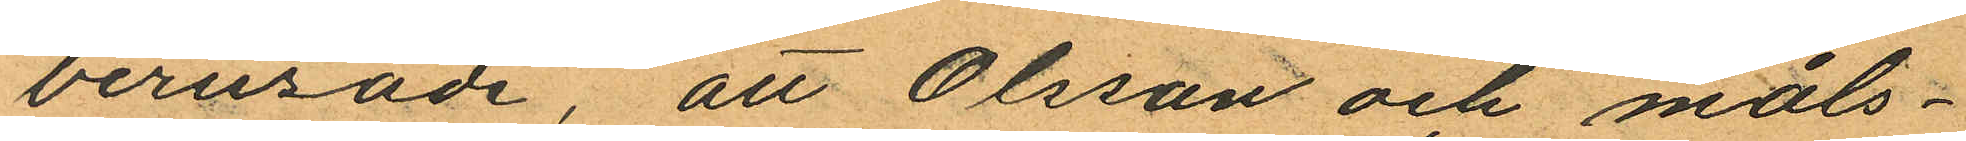berusade, att Olsson och måls¬
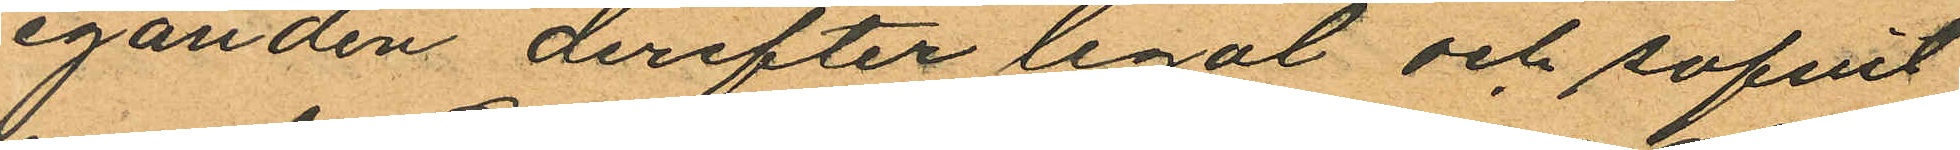eganden derefter legal och sofvit
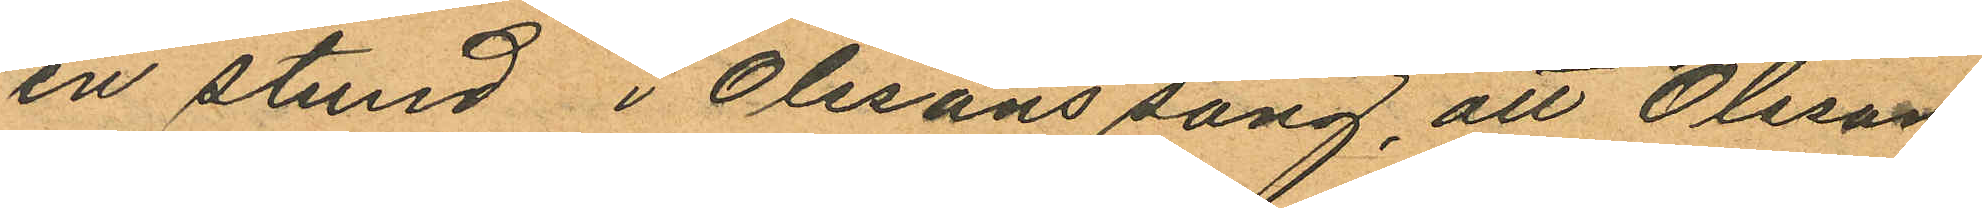en stund i Olssons säng, att Olsson
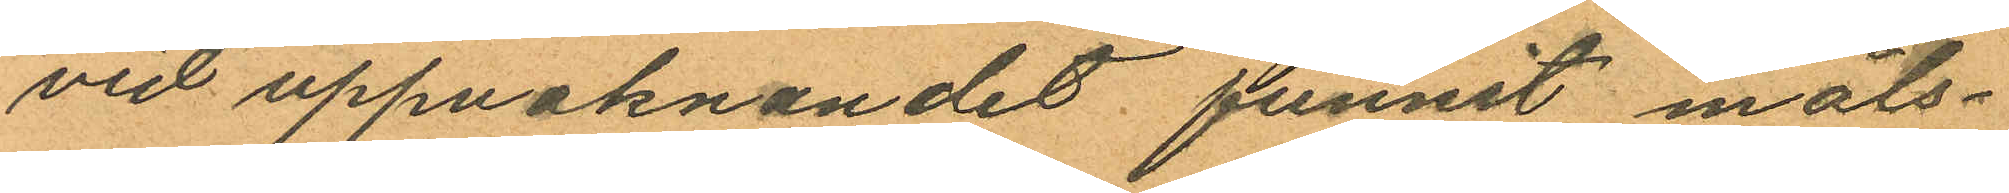vid uppvaknandet funnit måls¬
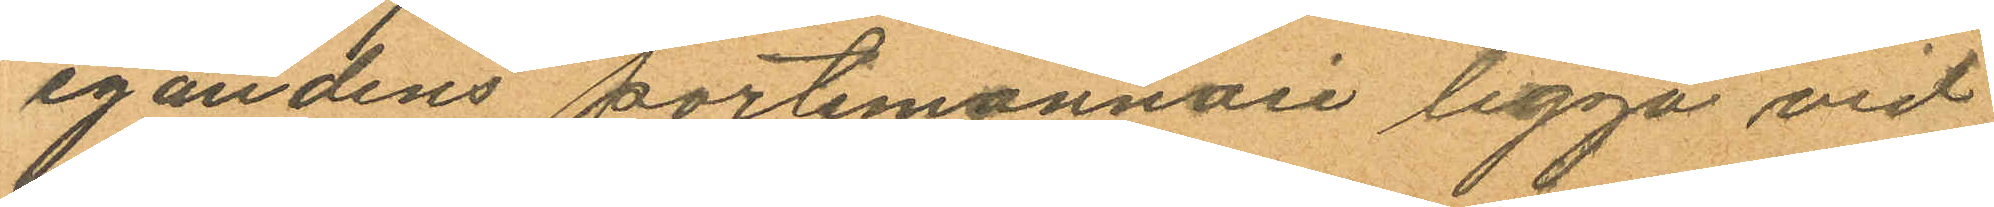egandens portemonnaie ligga vid
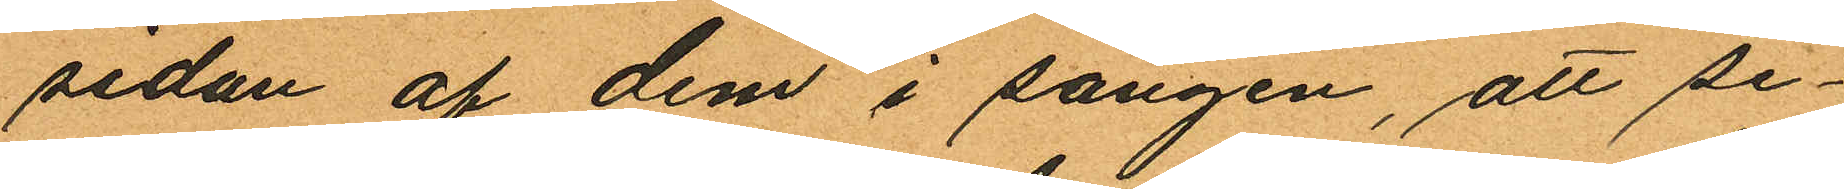sidan af dem i sängen, att se¬
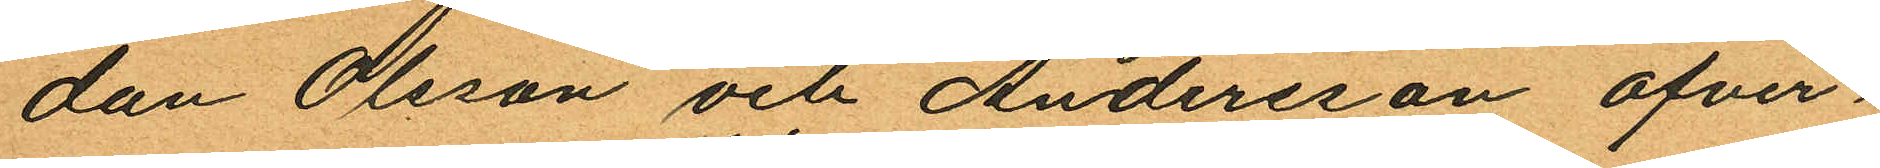dan Olsson och Andersson öfver¬
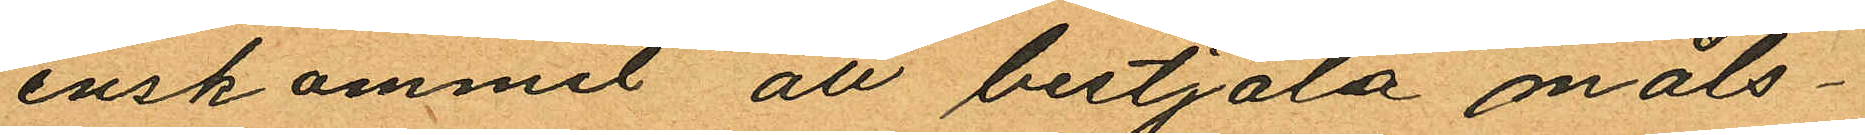enskommit att bestjäla måls¬
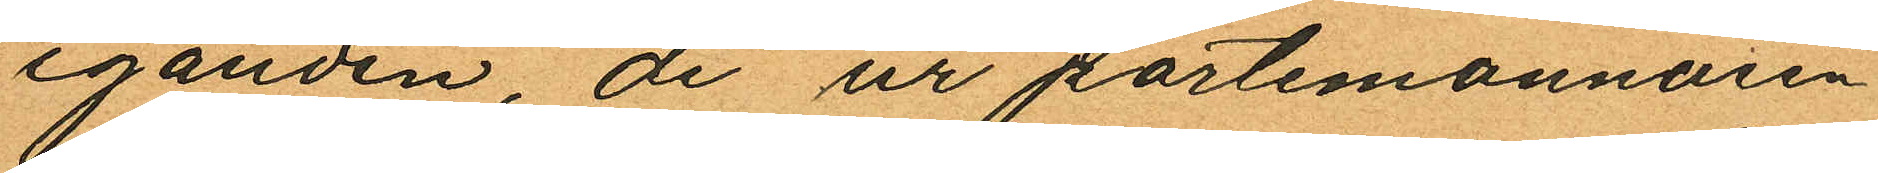eganden, de ur portemonnaien
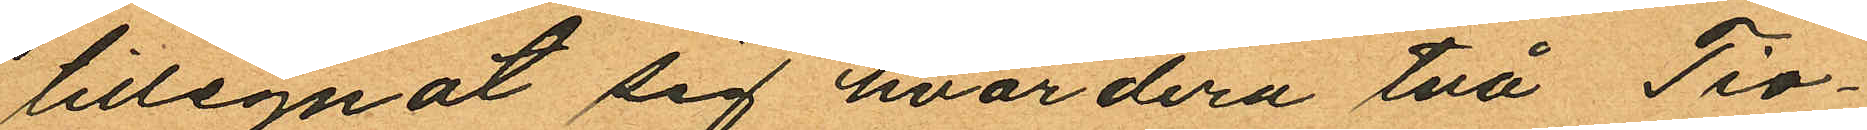tillegnat sig hvardera två Tio¬
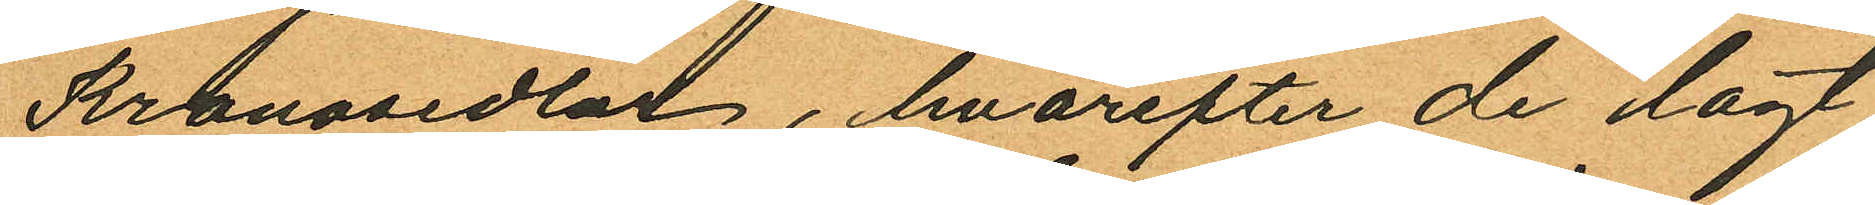Kronosedlar, hvarefter de lagt
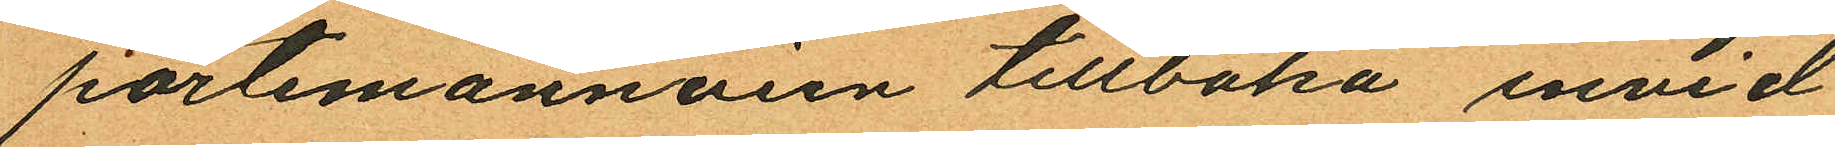portemonnaien tillbaka invid
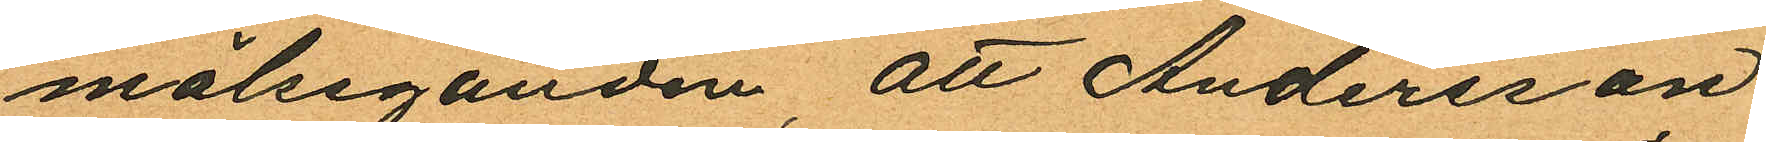målseganden, att Andersson
